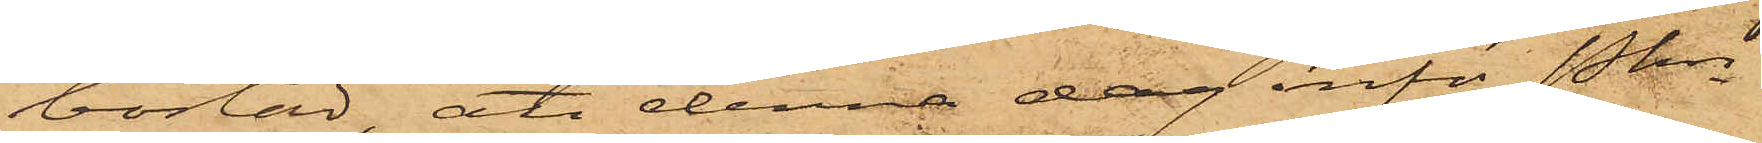bostad, att denna dag inför Pkn
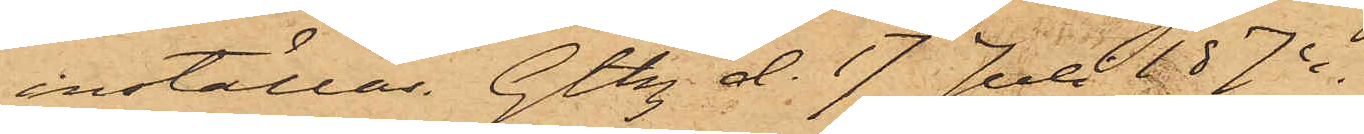inställas. Gtbg d. 17 Juli 1874.
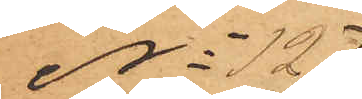No 127
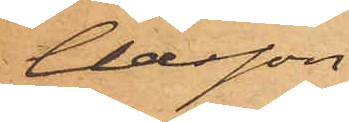Claesson
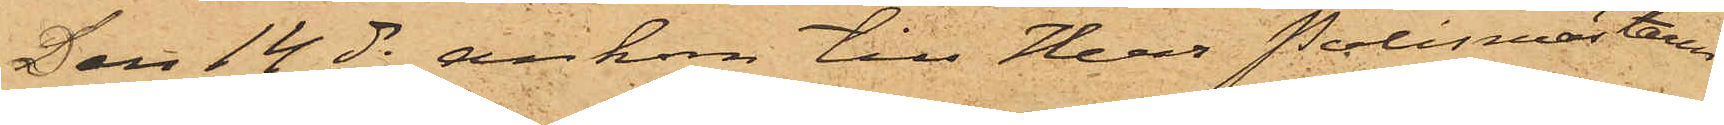Den 14 ds ankom till Herr Polismästaren
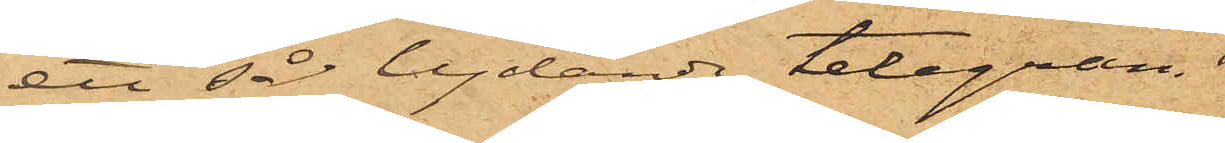ett så lydande telegram
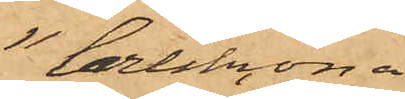"Carlskrona
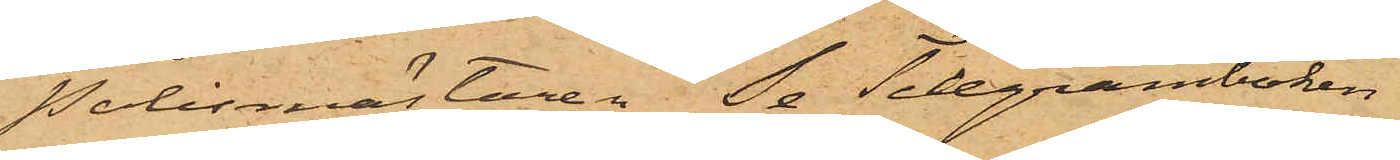Polismästaren Se Telegramboken"
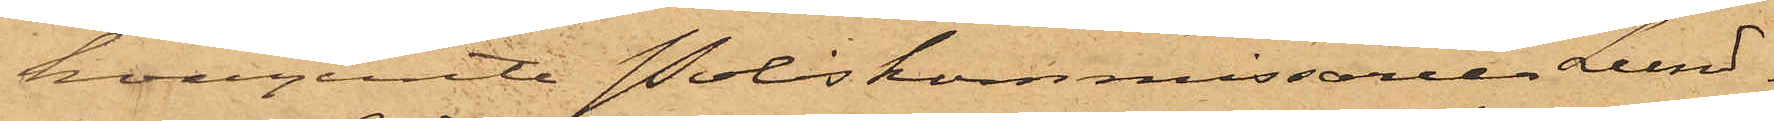hvarjemte Poliskommissarie Lund¬
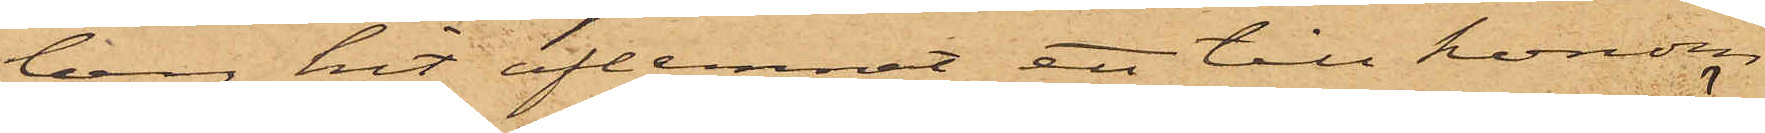berg hit aflemnat ett till honom
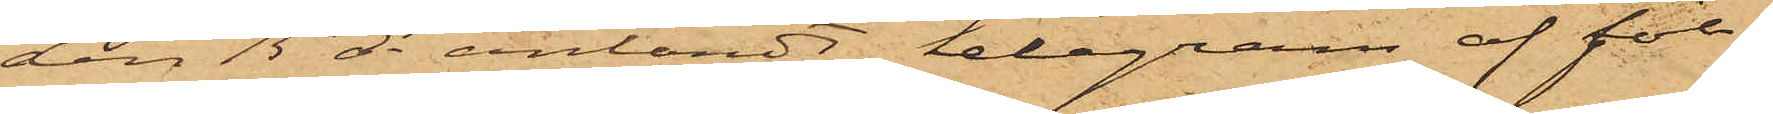den 15 ds anländt telegram af föl¬
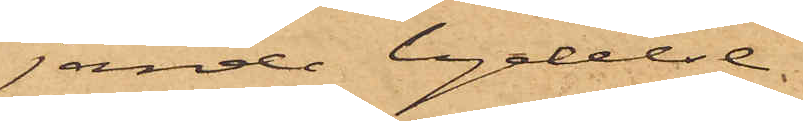jande lydelse.
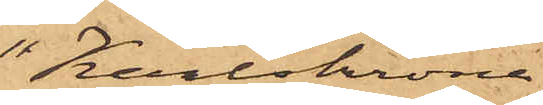"Karlskrona
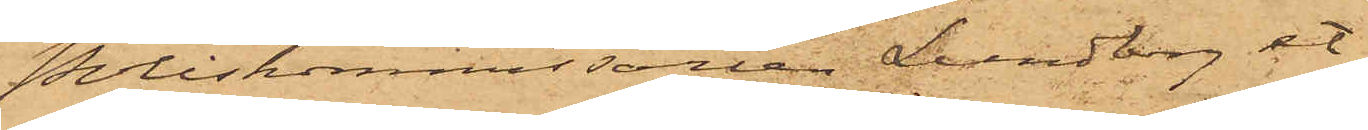Poliskommissarie Lundberg et
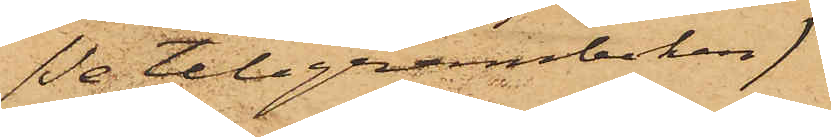(se telegramboken)
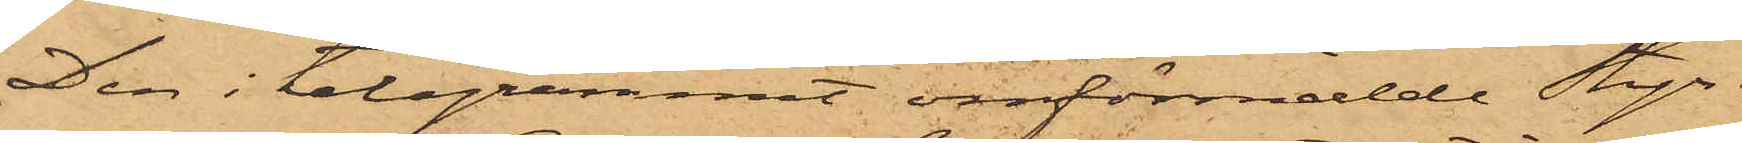Den i telegrammet omförmälde Styr¬
